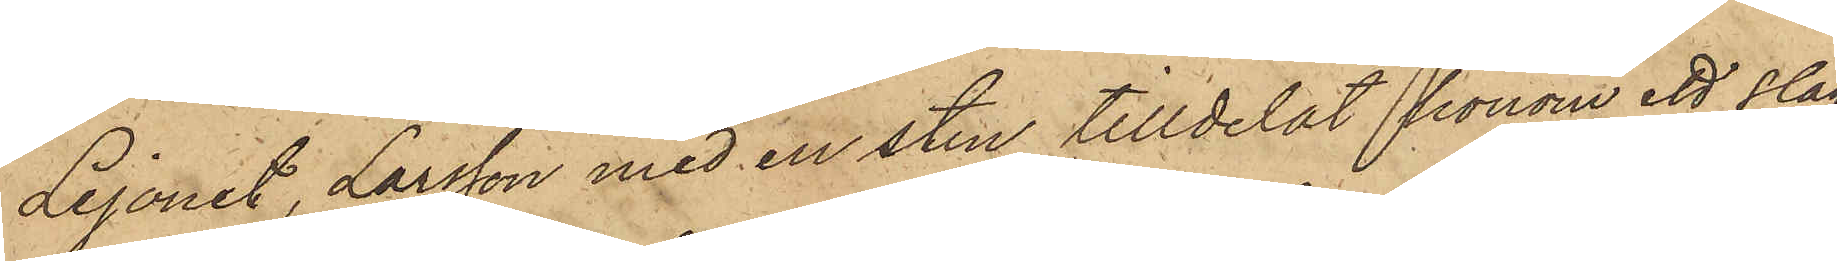Lejonet, Larsson med en sten tilldelat honom ett slag
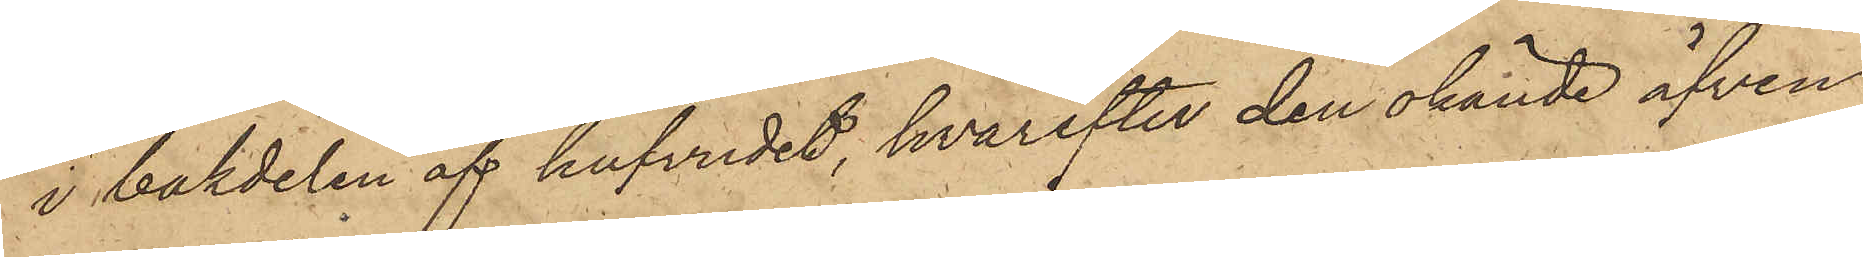i bakdelen af hufvudet, hvarefter den okände äfven
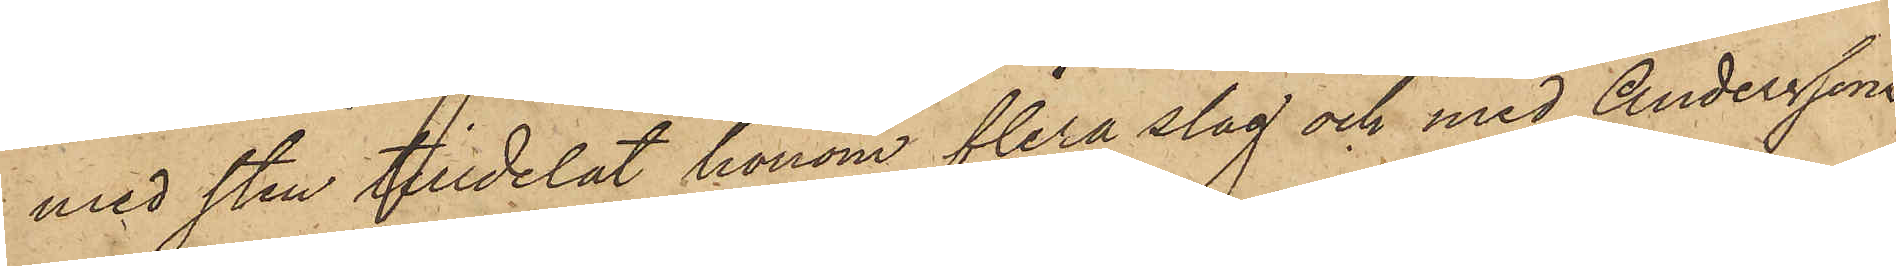med sten tilldelat honom flera slag och med Anderssons
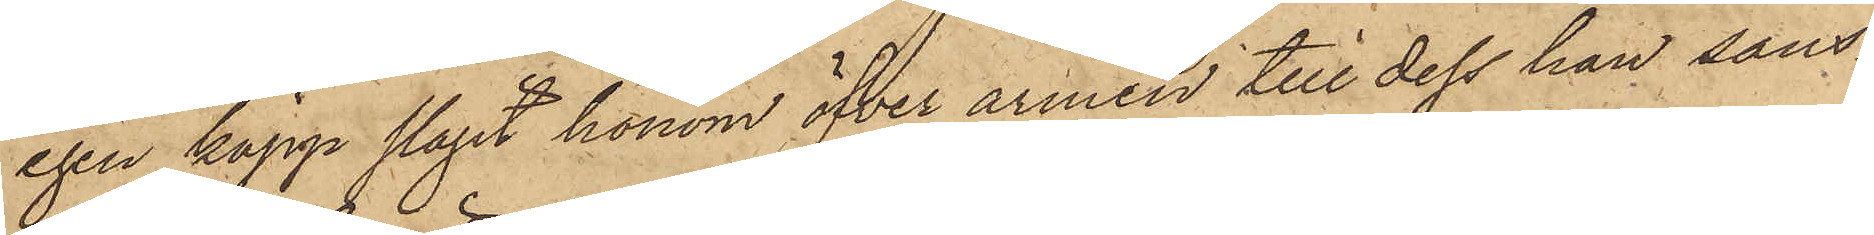egen käpp slagit honom öfver armen till dess han sans¬
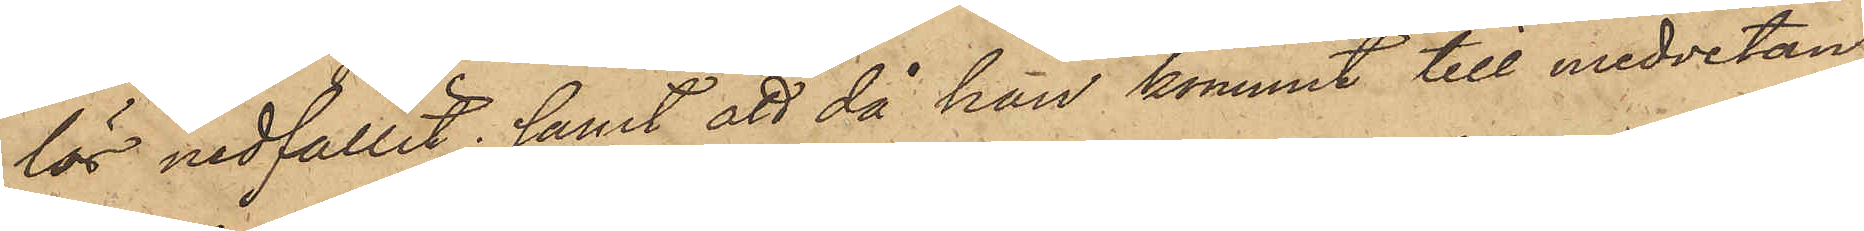lös nedfallit; samt att då han kommit till medvetan¬
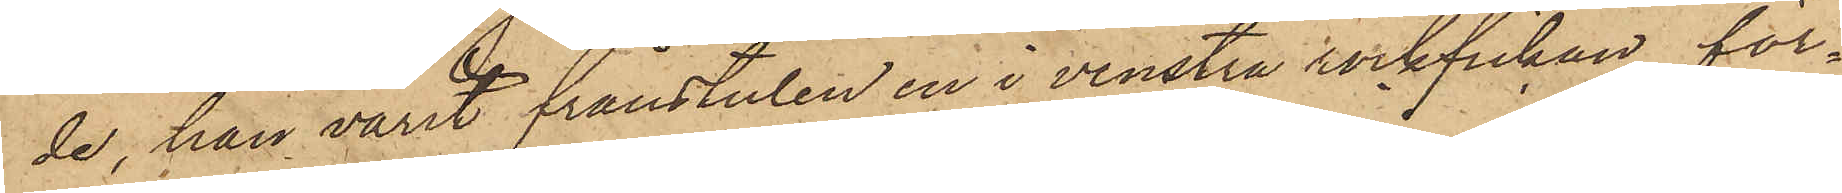de, han varit frånstulen en i venstra rockfickan för¬
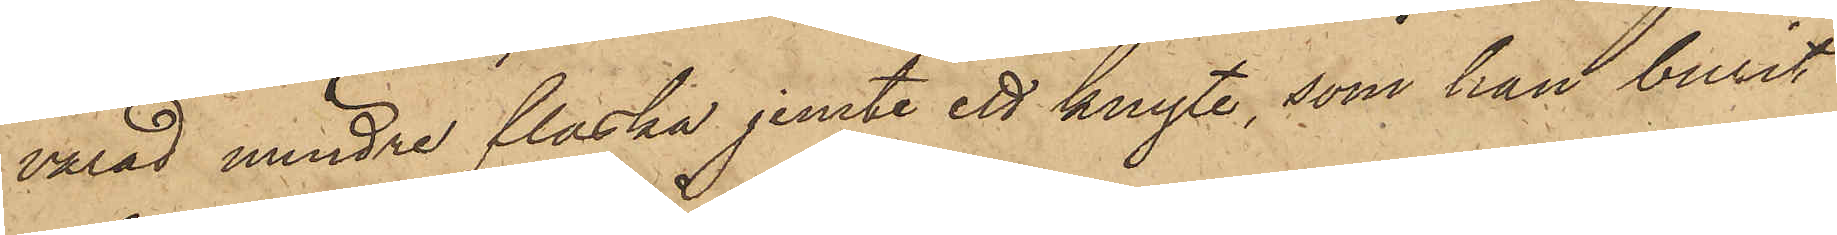varad mindre flaska jemte ett knyte, som han burit
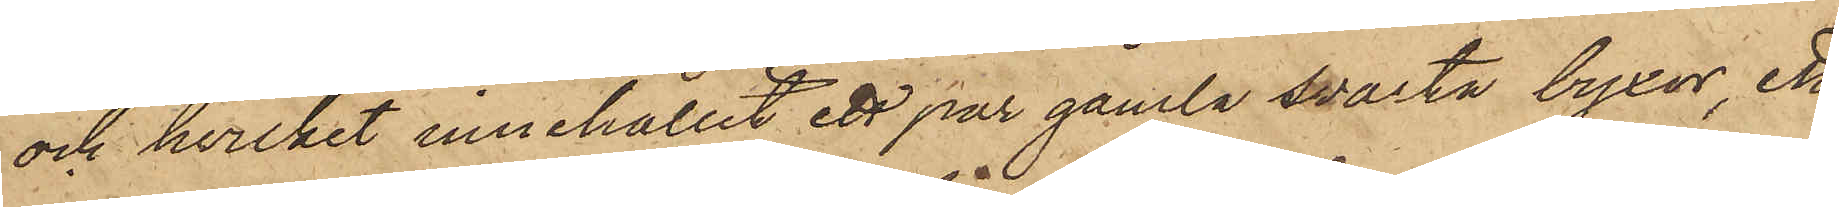och hvilket innehållit ett par gamla svarta byxor, ett
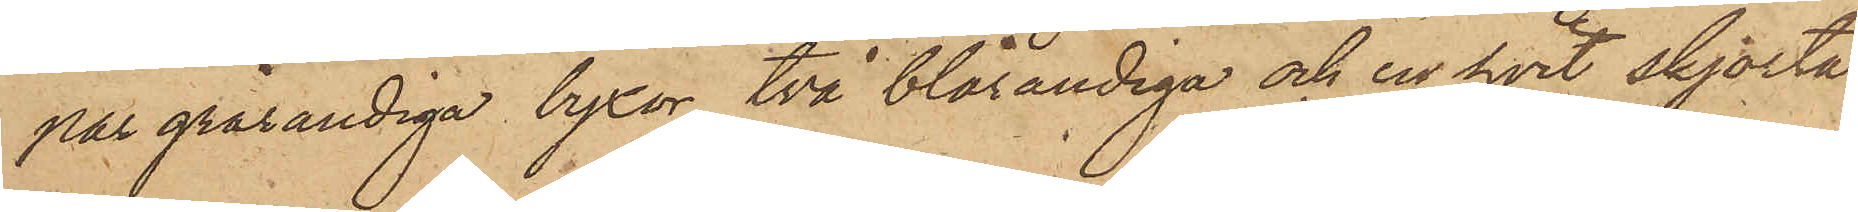par grårandiga byxor, två blårandiga och en hvit skjorta
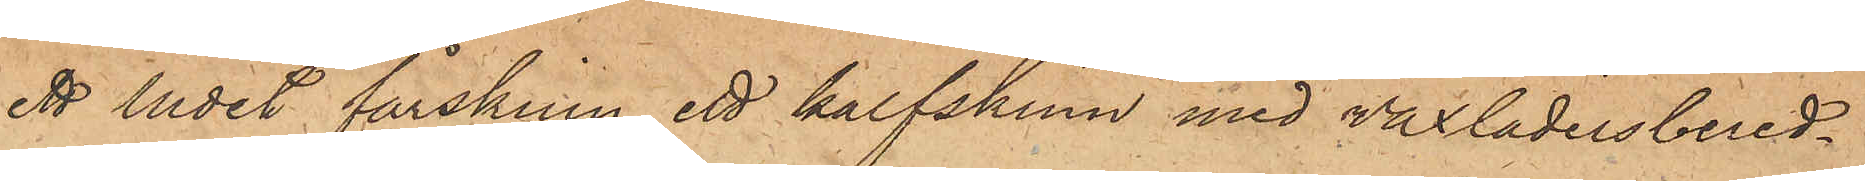ett ludet fårskinn, ett kalfskinn med vaxlädersbered¬
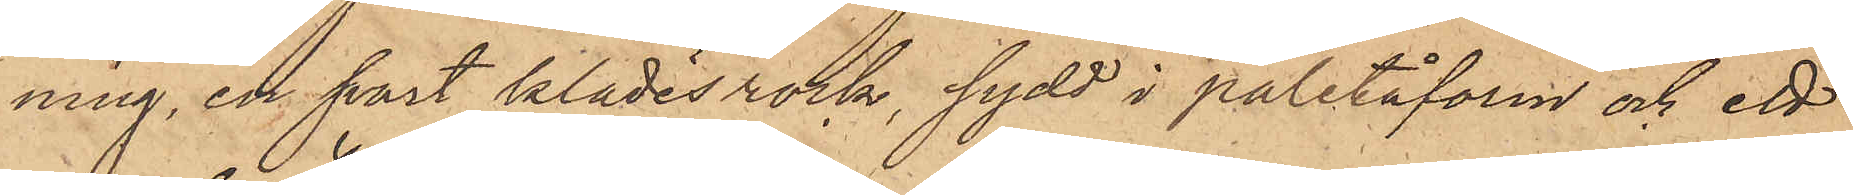ning, en svart klädesrock, sydd i paletåform och ett
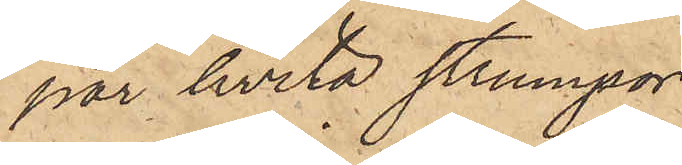par hvita strumpor.
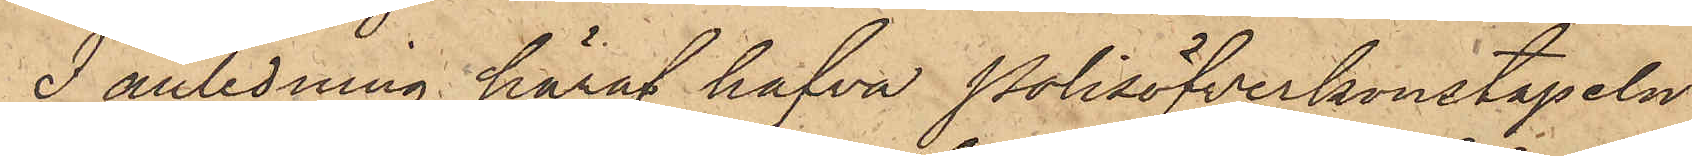I anledning häraf hafva Polisöfverkonstapeln
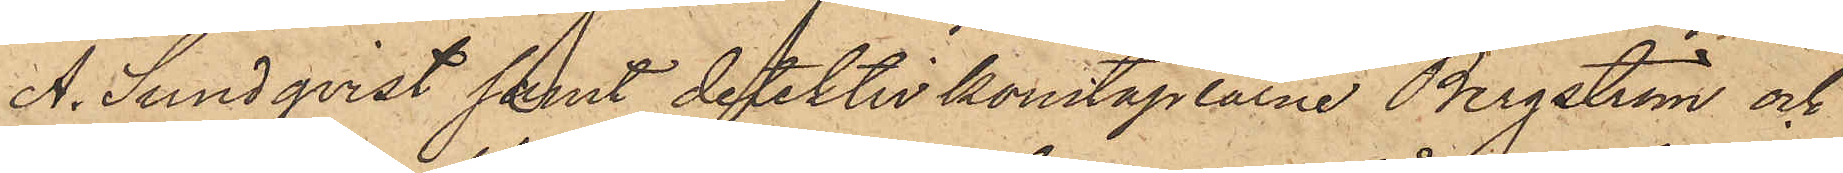A. Sundqvist samt detektivkonstaplarne Bergström och
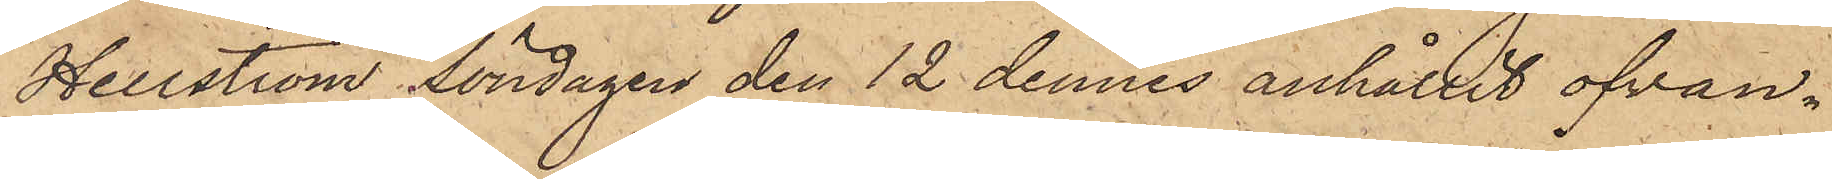Hellström Söndagen den 12 dennes anhållit ofvan¬
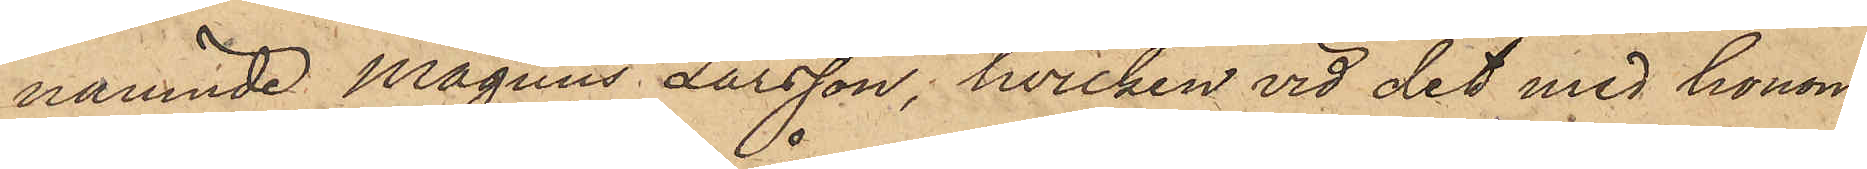nämnde Magnus Larsson, hvilken vid det med honom
